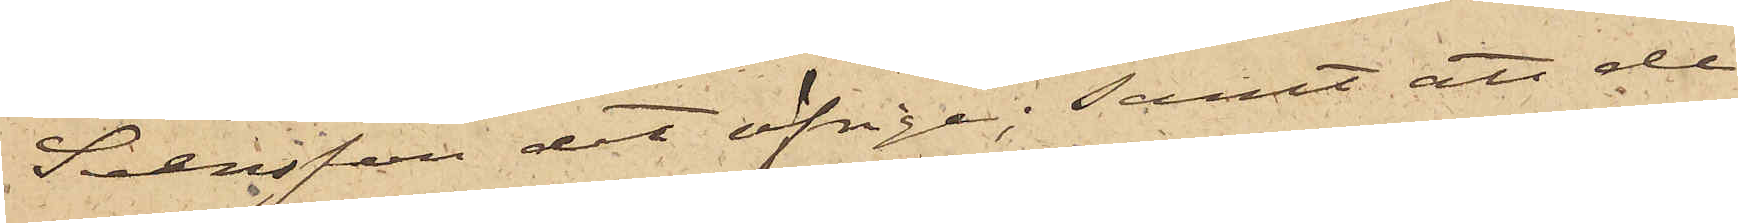Svensson det öfrige; samt att de
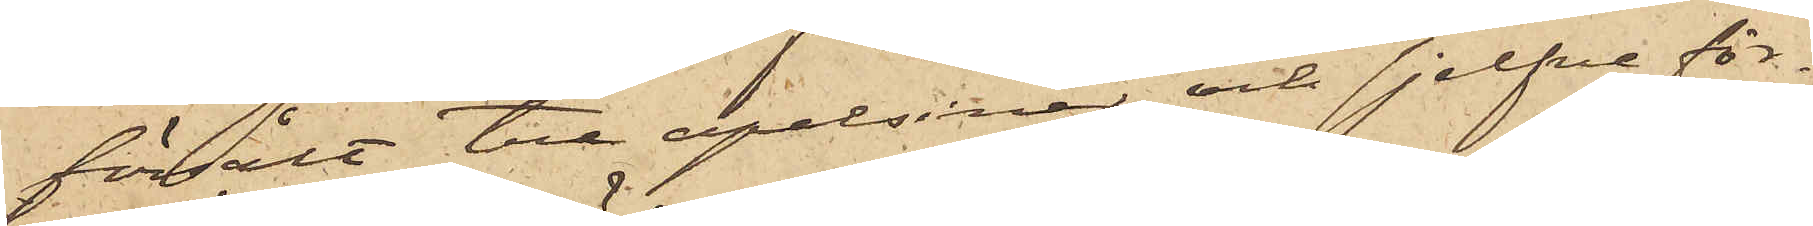försålt tre apelsiner och sjelfva för¬
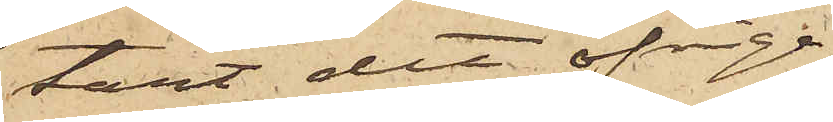tärt det öfrige.
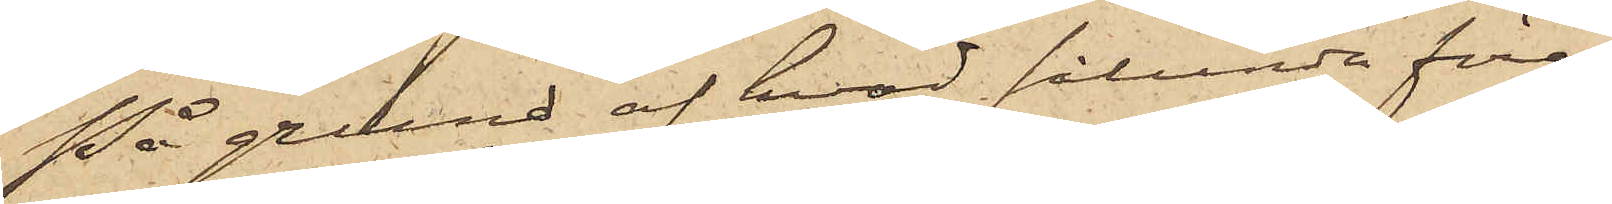På grund af hvad sålunda före¬
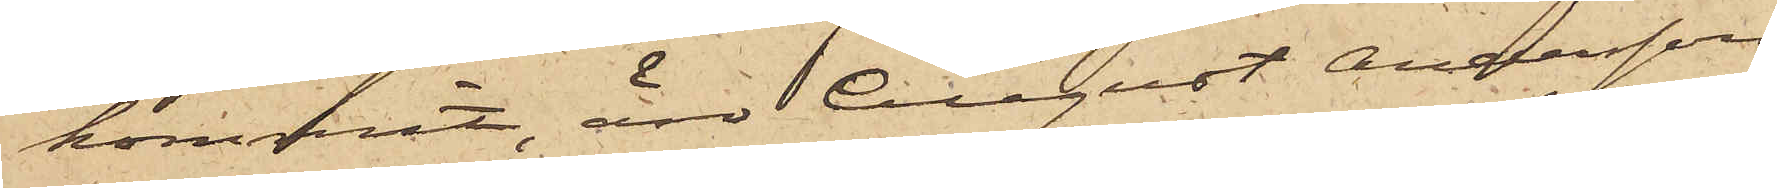kommit, äro August Andersson
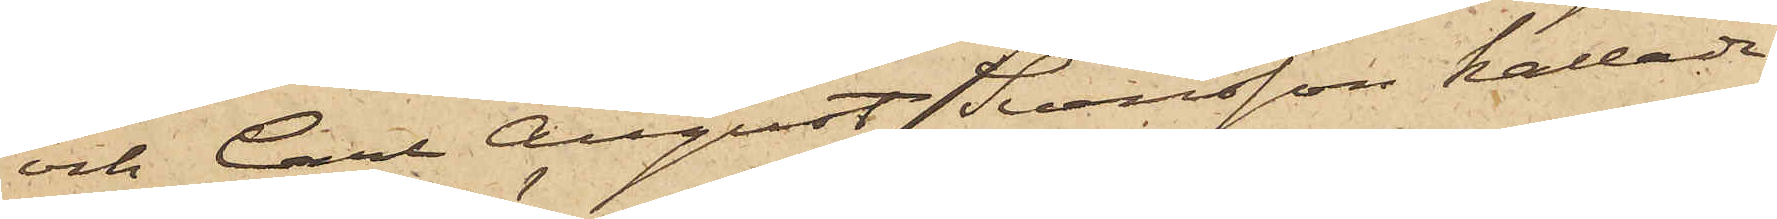och Carl August Svensson kallade
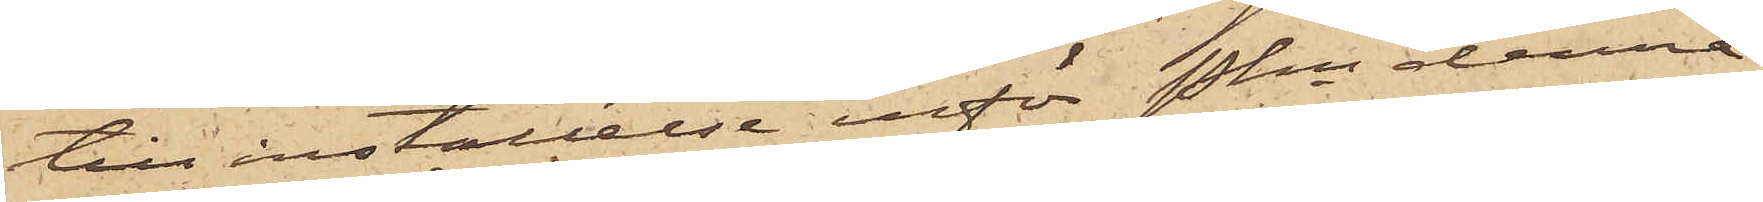till inställelse inför Pkn denna
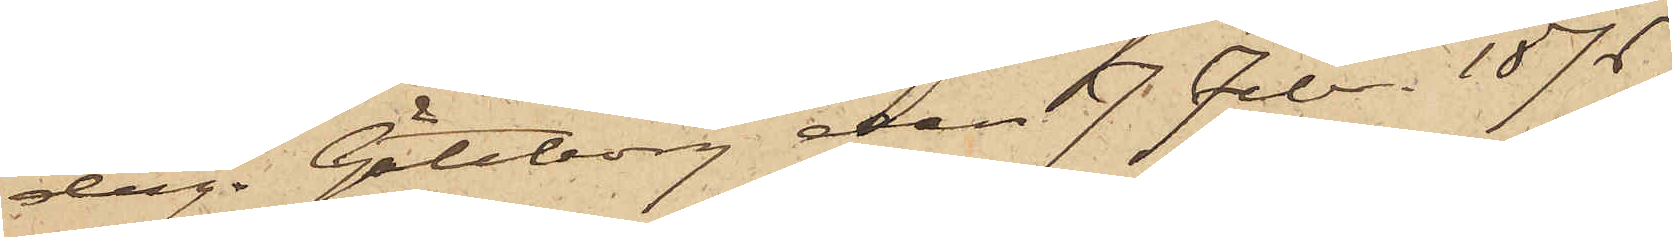dag. Göteborg den 7 Febr 1876.
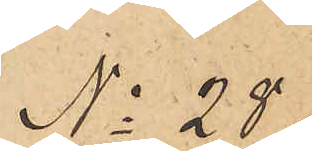No 28
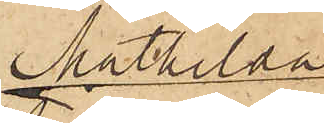Mathilda
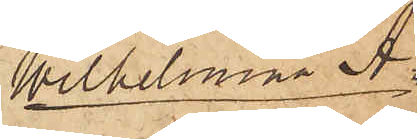Wilhelmina A¬.
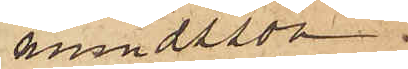mundsson
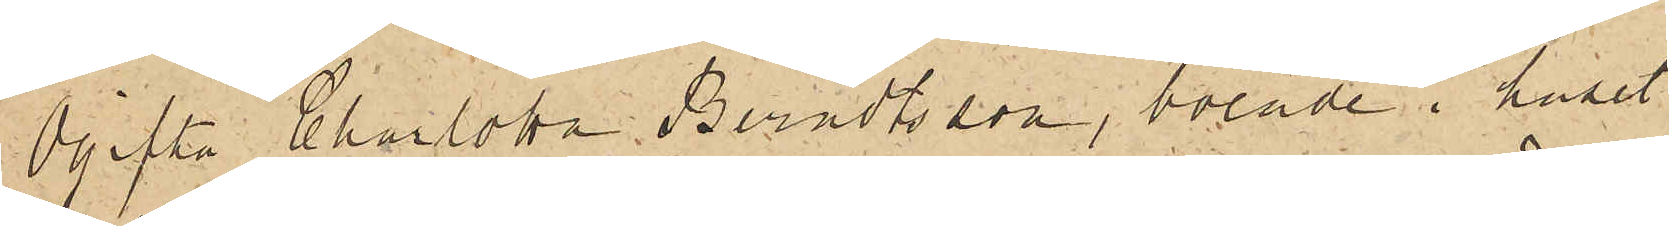Ogifta Charlotta Berndtsson, boende i huset
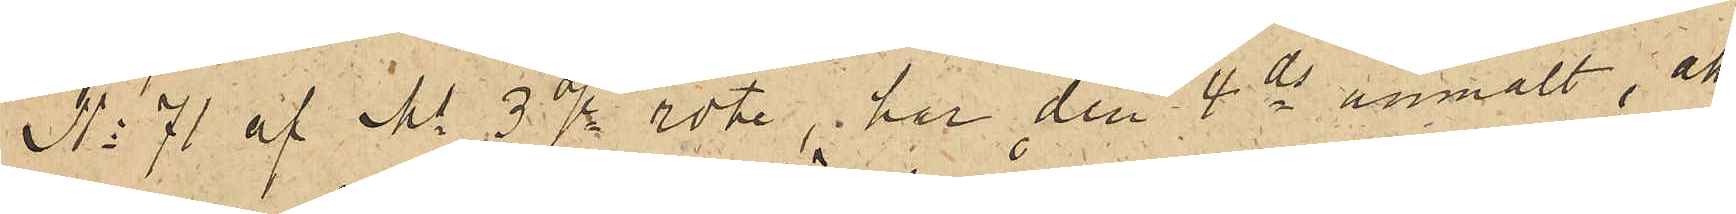No 71 af Ms 3dje rote, har den 4 ds anmält att
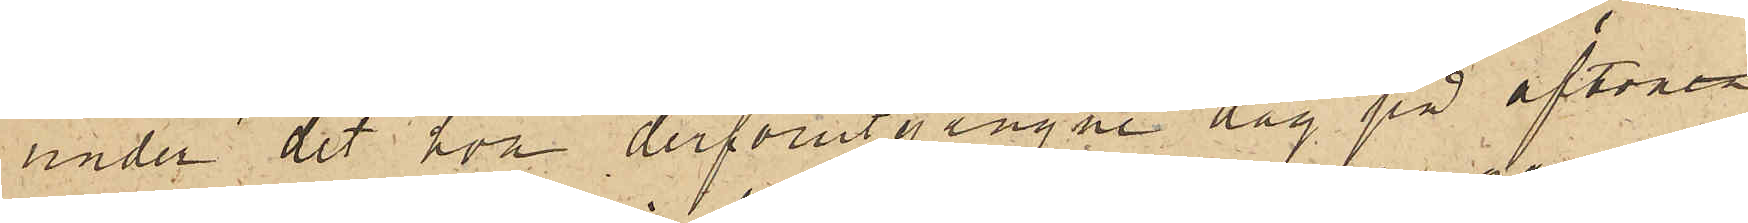under det hon derförutgångne dag på aftonen
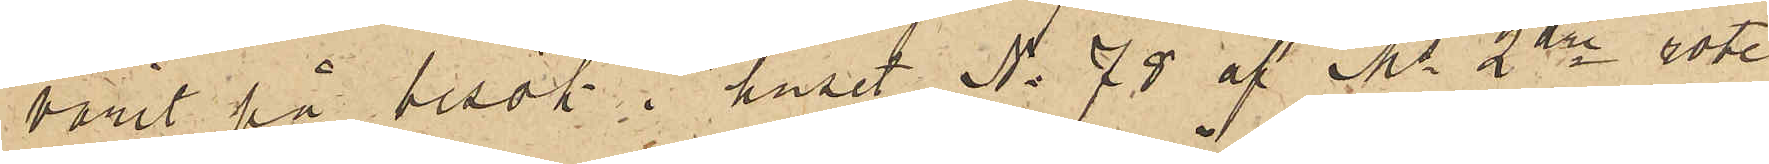varit på besök i huset No 78 af Ms 2dre rote
